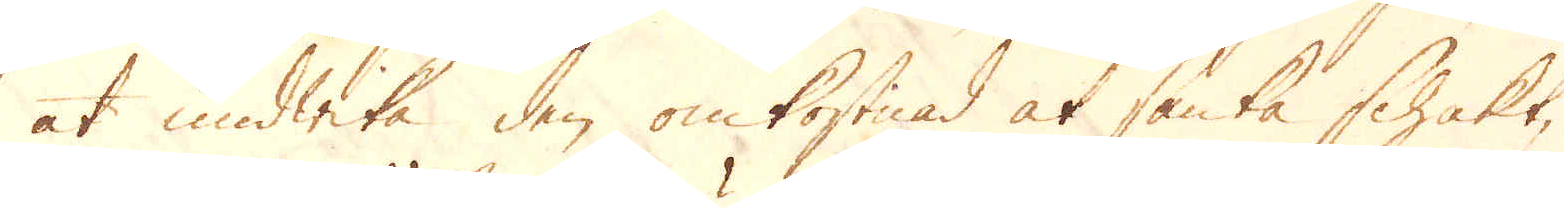at undwika den omkostnad at sänka Schakt,
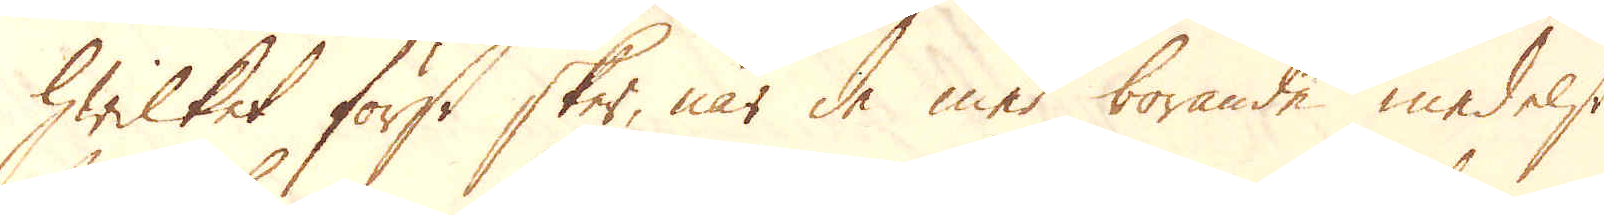hwilket först sker, när de med borande medelst
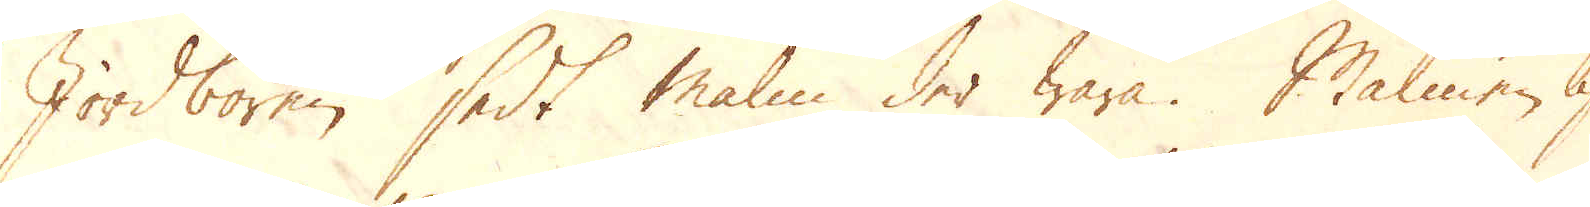Jordboren sedt malm der wara. Malmen lig-
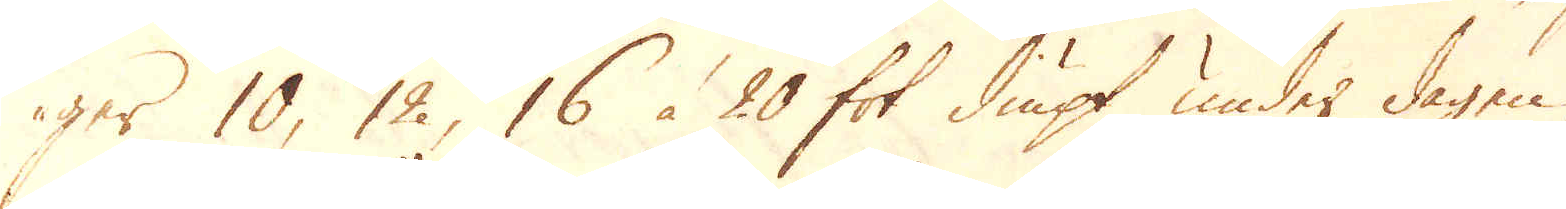ger 10, 12, 16 à 20 fot diupt under dagen,
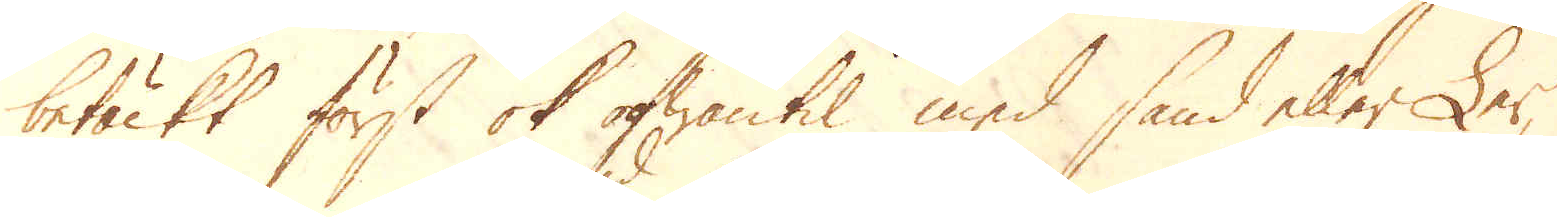betäckt först ok ofwantil med sand eller Ler,
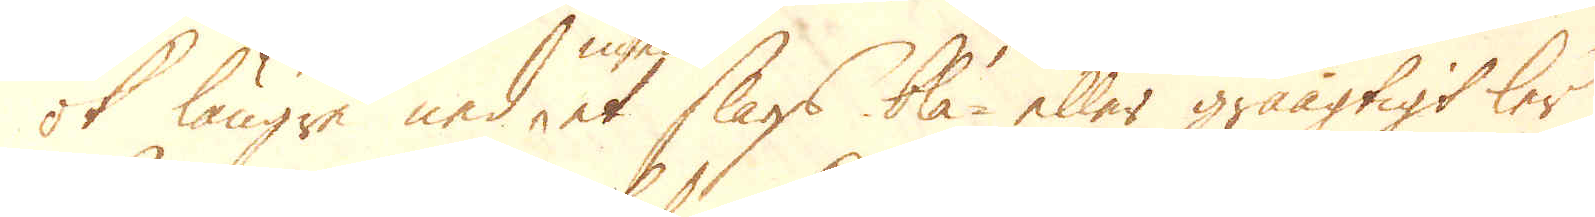ok längre ned med et slags blå- eller gråagtigt ler
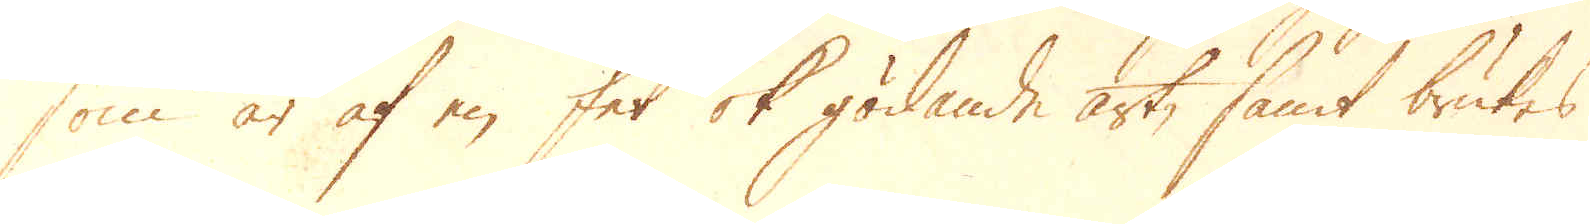som är af en fet ok gödande art, samt brukes
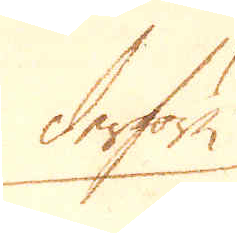derföre
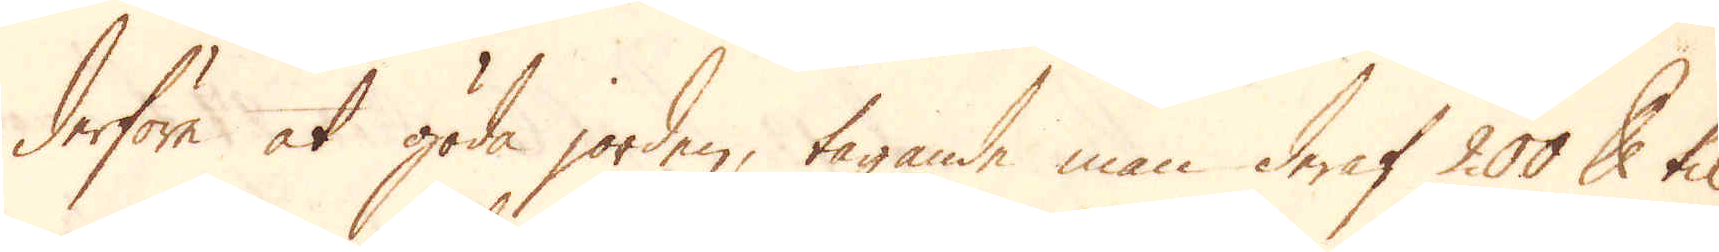derföre at göda jorden, tagande man deraf 200 skålpund til
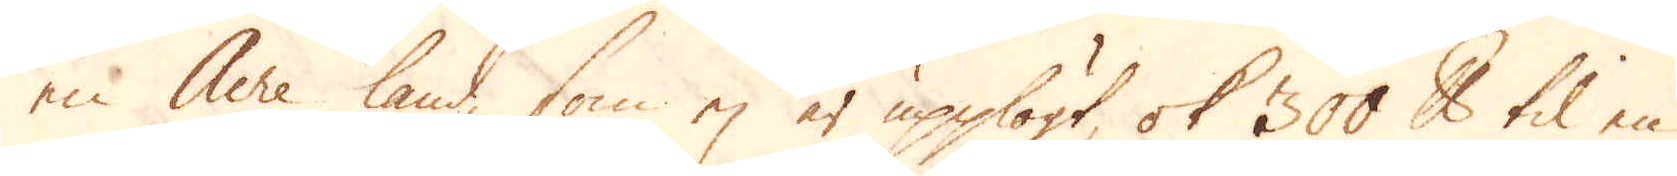en Acre land, som ej är upplögt, ok 300 skålpund til en
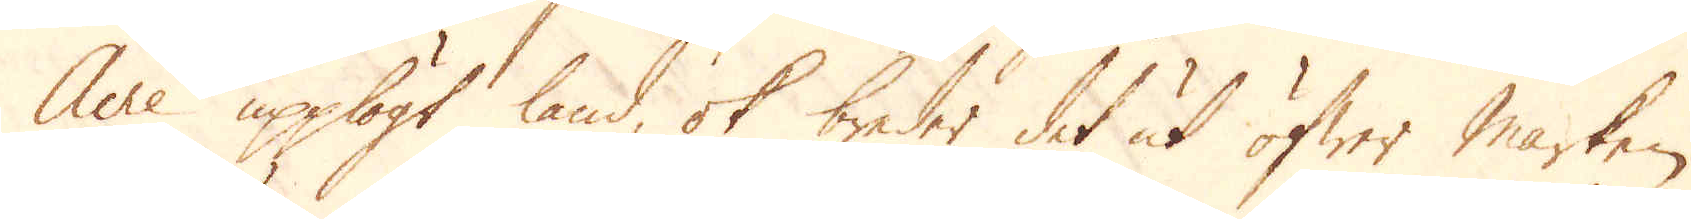Acre upplögt land, ok breder det ut öfwer marken.
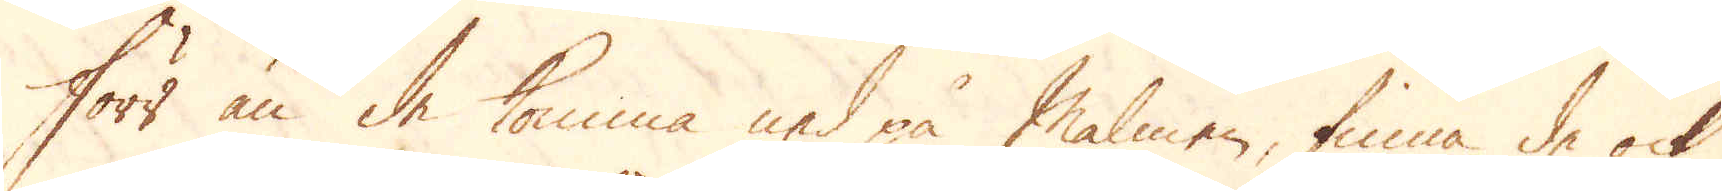Förr än de komma ned på Malmen, finna de ock
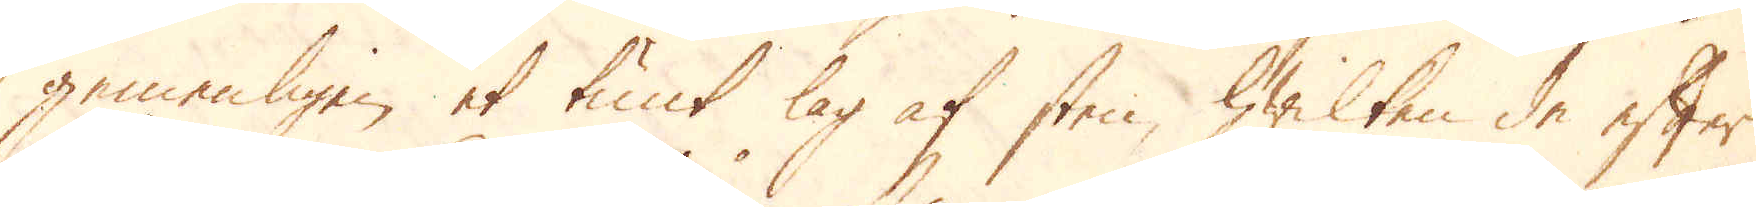gemenligen et tunt lag af sten, hwilken de efter
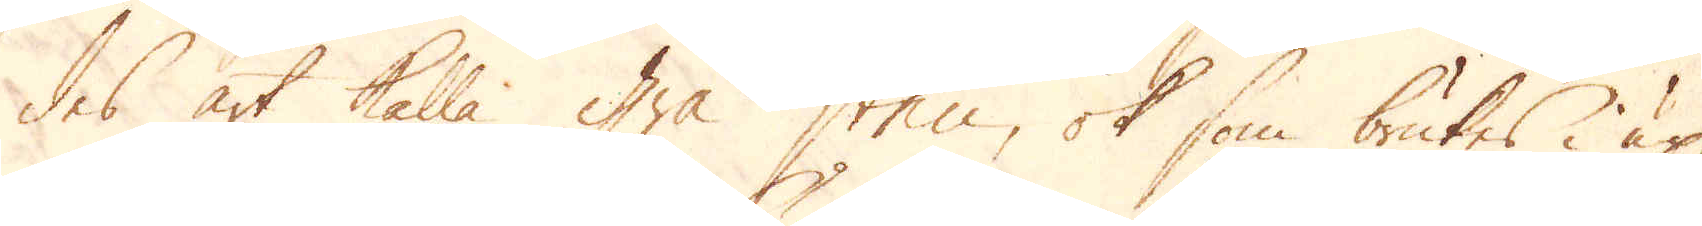des art kalla Grå sten, ok som brukes i up-
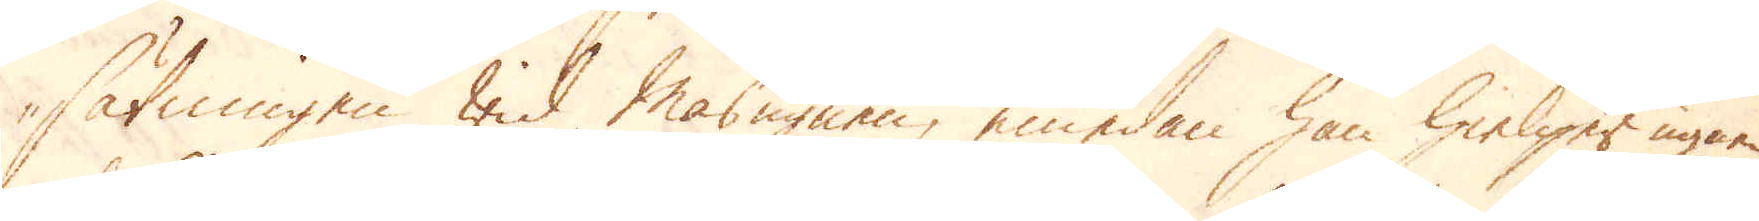sätningen wid Masugnen, emedan han hielper ugnen
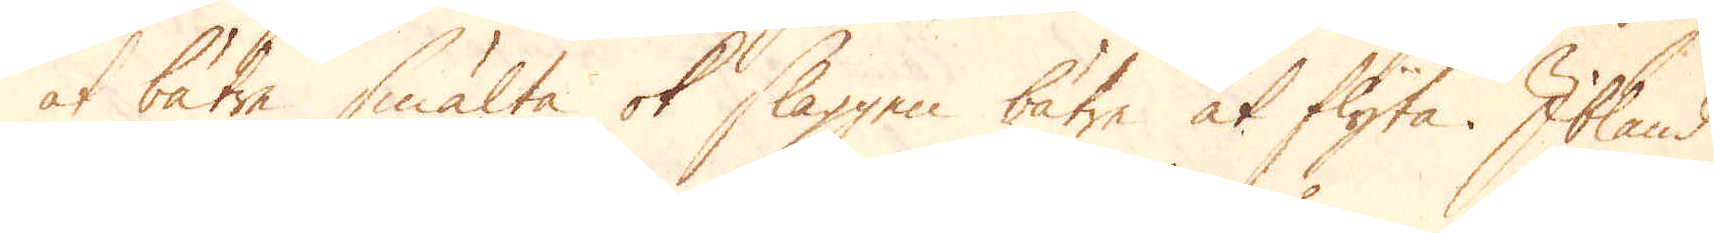at bätre smälta ok slaggen bätre at flyta. Ibland
